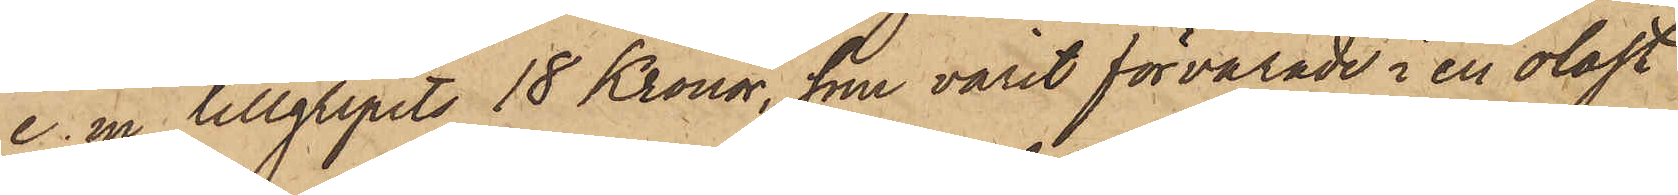e. m tillgripits 18 Kronor, som varit förvarade i en olåst
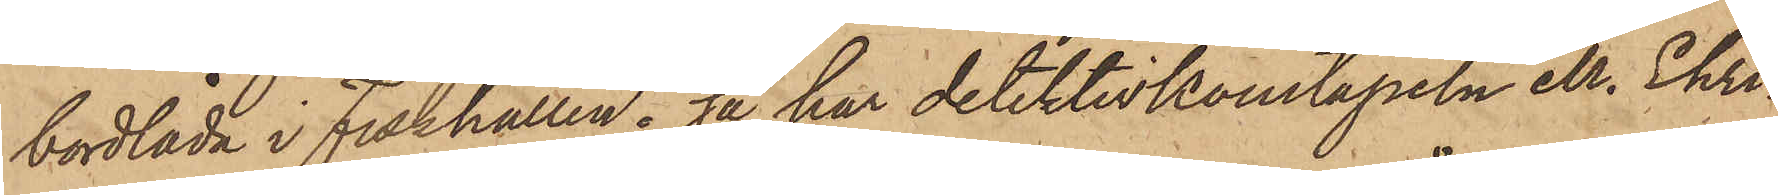bordlåda i Fiskhallen; så har detektivkonstapeln M. Ehri¬
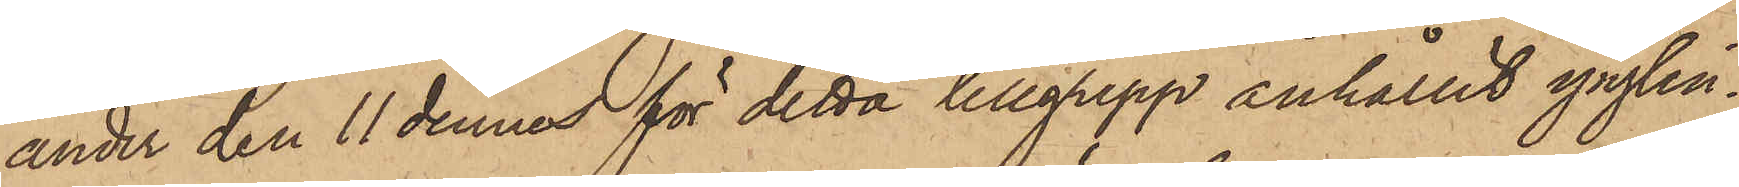ander den 11 dennes för detta tillgrepp anhållit ynglin¬
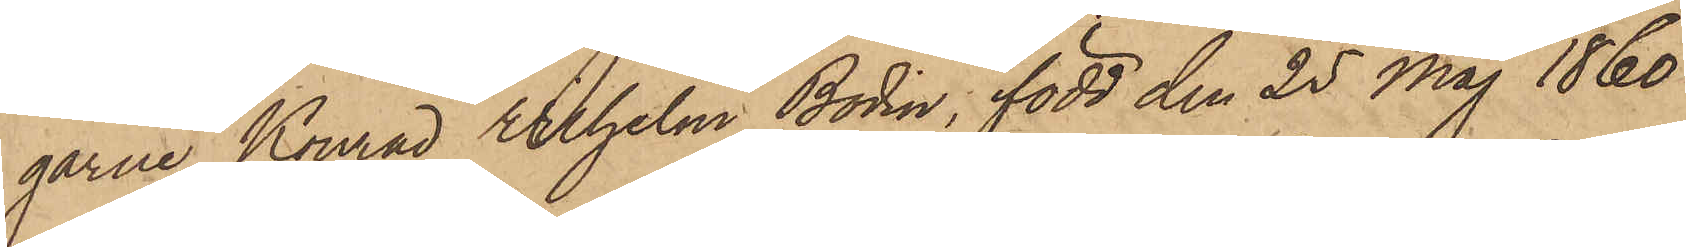garne Konrad Wilhelm Bodin, född den 25 Maj 1860
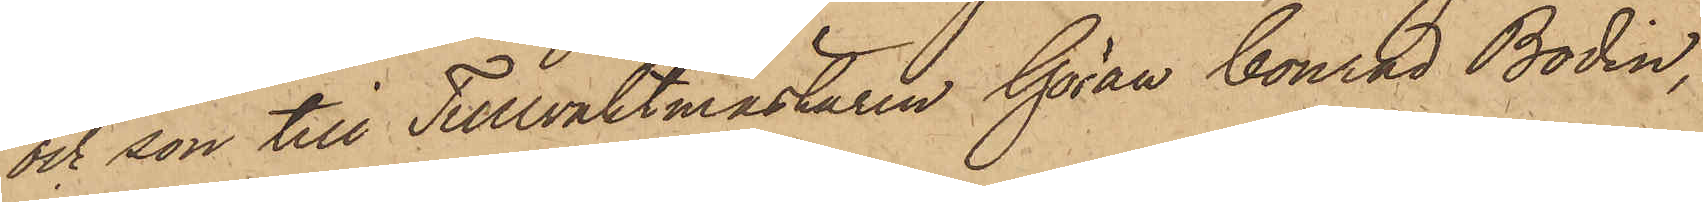och son till Tullvaktmästaren Göran Conrad Bodin,
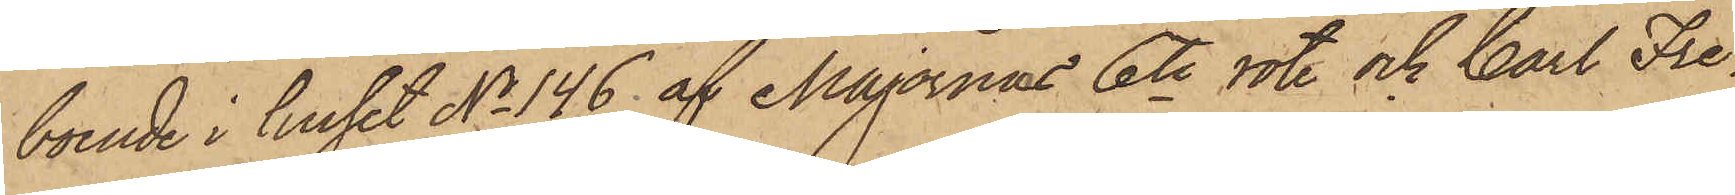boende i huset No 146 af Majornas 6te rote och Carl Fre¬
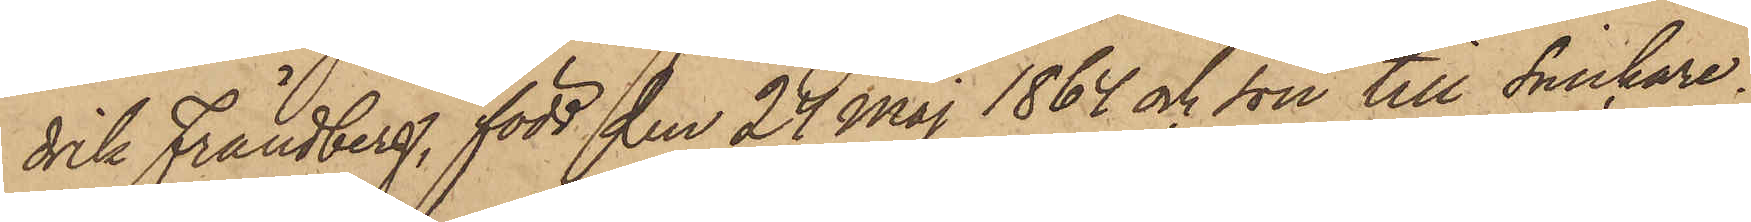drik Frändberg, född den 24 Maj 1864 och son till Snickare¬
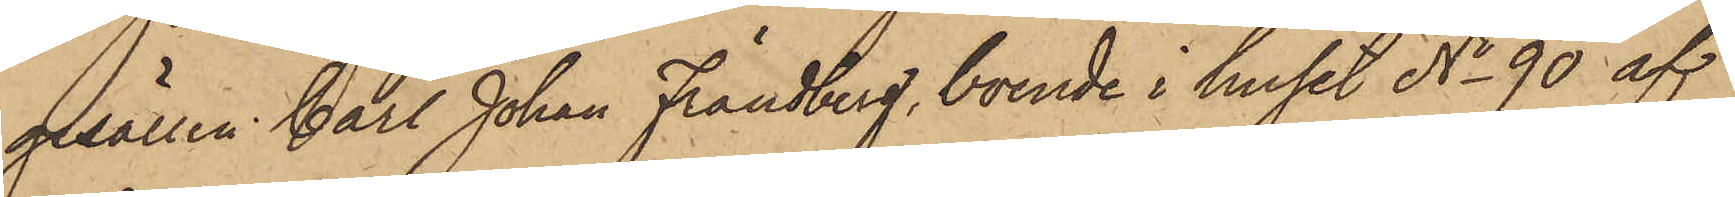gesällen Carl Johan Frändberg, boende i huset No 90 af
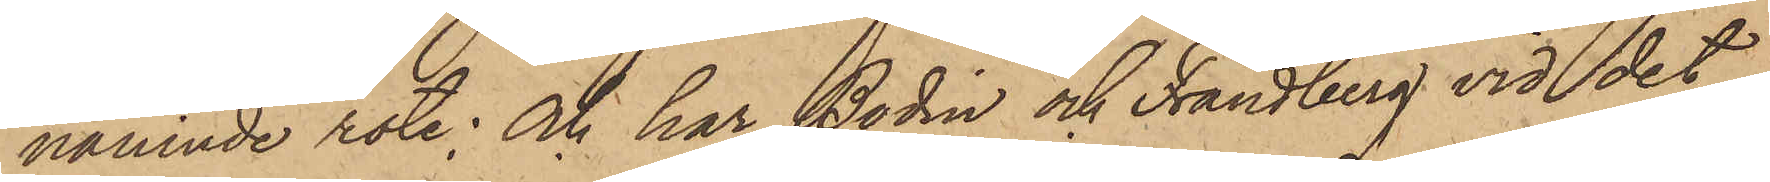nämnde rote; Och har Bodin och Frändberg vid det
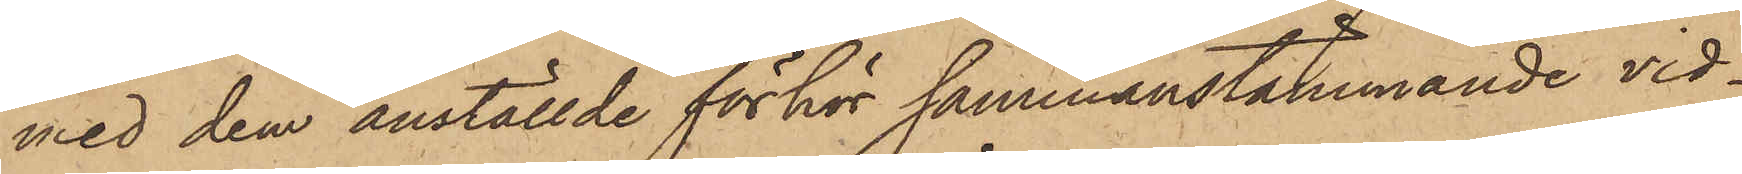med dem anställde förhör sammanstämmande vid¬
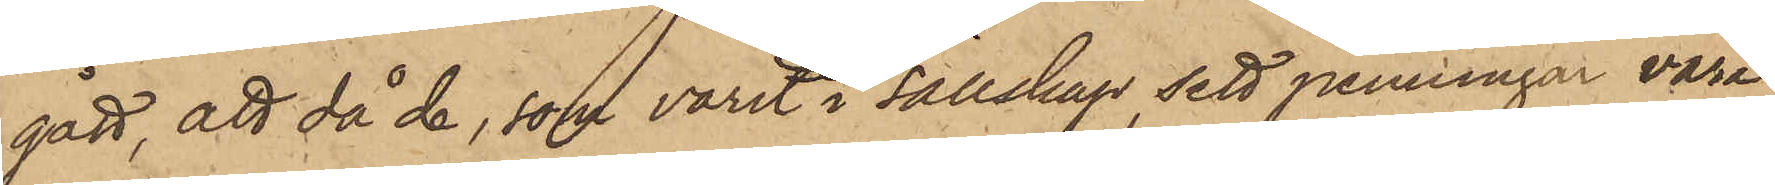gått, att då de, som varit i sällskap, sett penningar vara
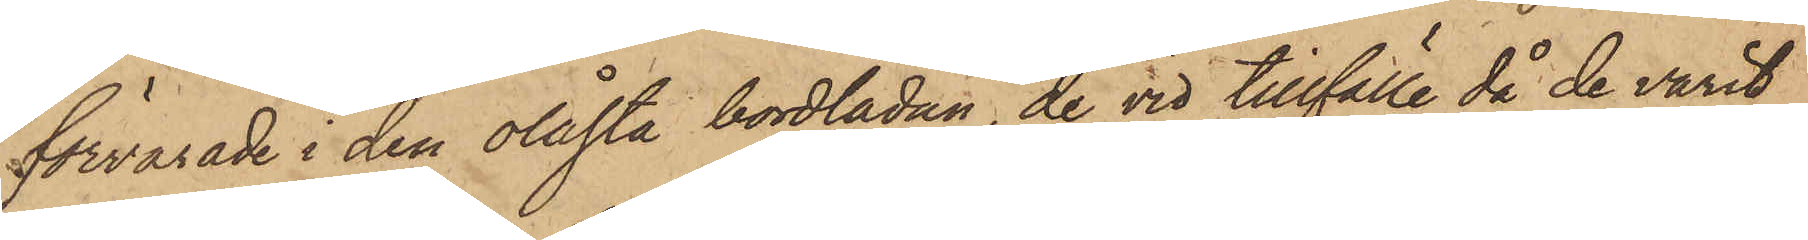förvarade i den olåsta bordlådan, de vid tillfälle då de varit
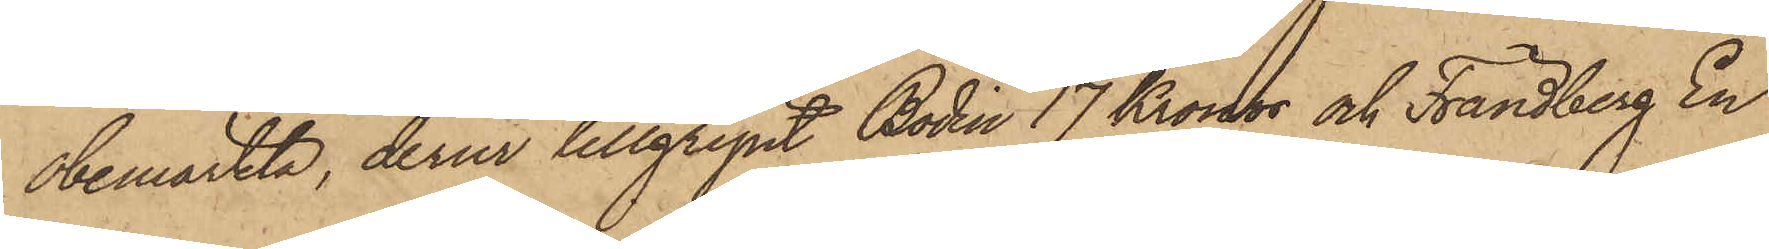obemärkta, derur tillgripit Bodin 17 Kronor och Frändberg En
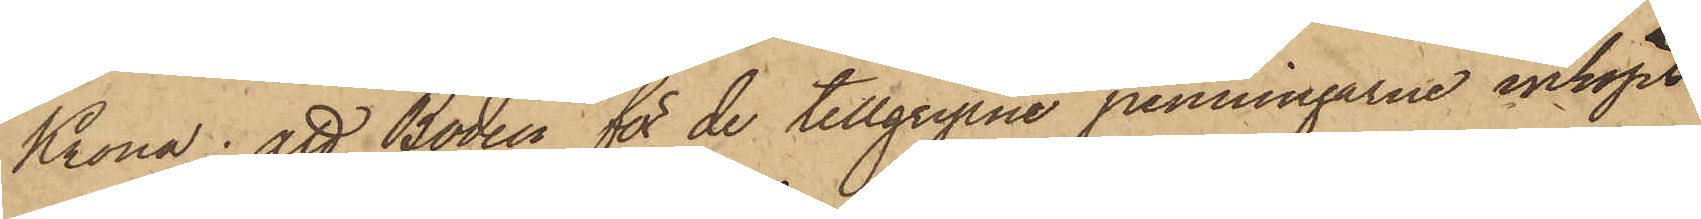Krona; att Bodin för de tillgripne penningarne inköpt
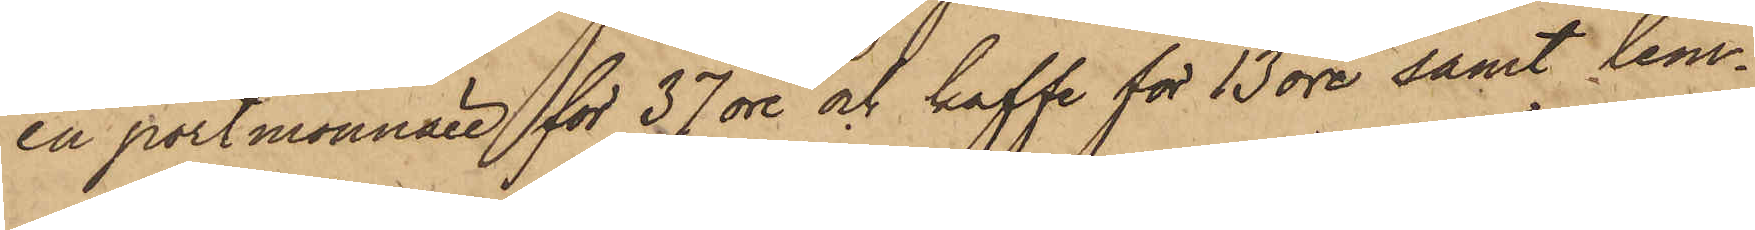en portmonnaie för 37 öre och kaffe för 13 öre samt lem¬
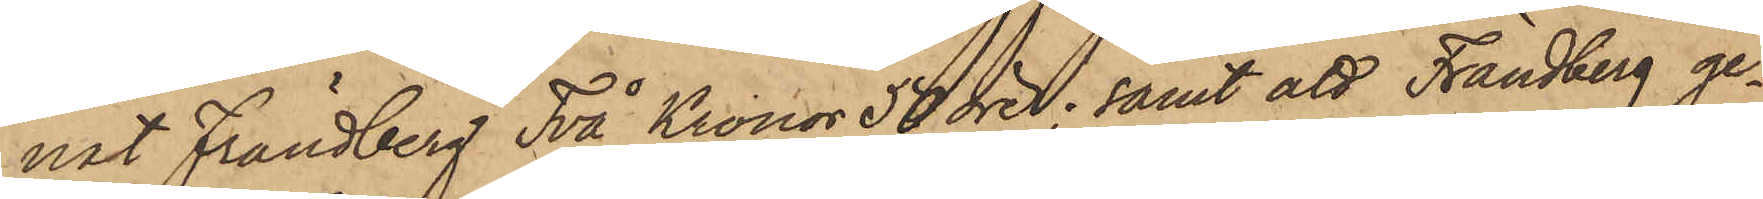nat Frändberg Två Kronor 50 öre; samt att Frändberg ge¬
